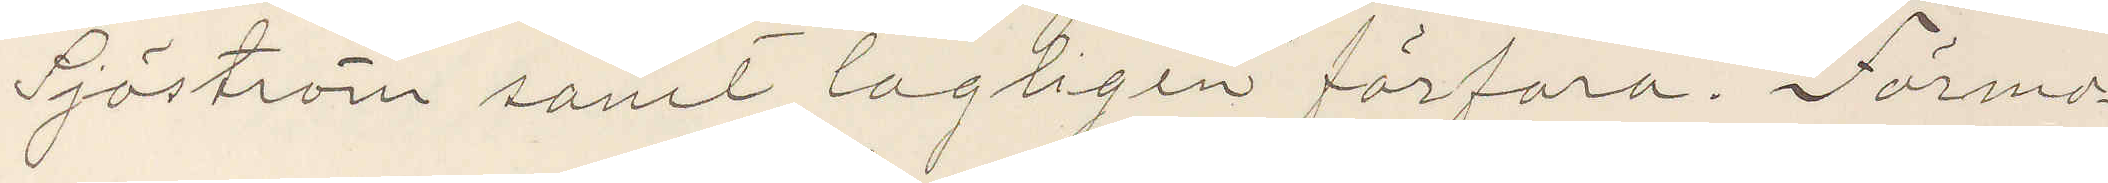Sjöström samt lagligen förfara. Förmo¬
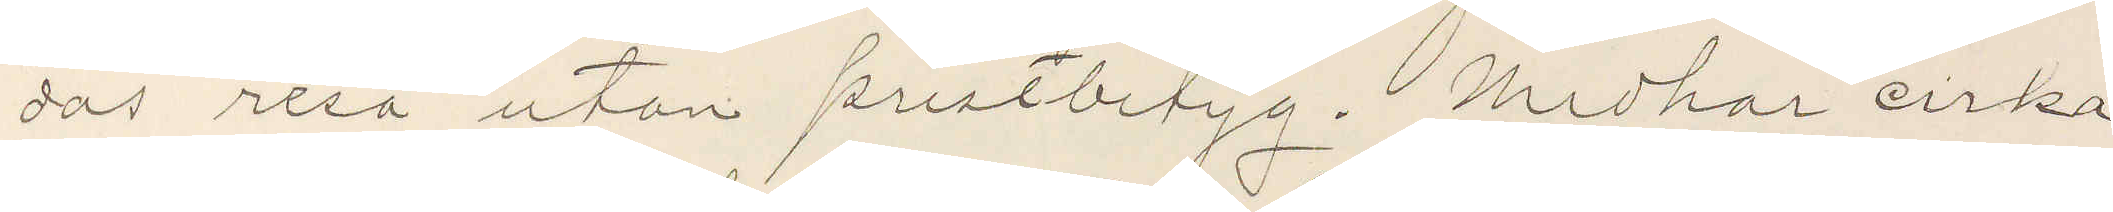das resa utan prestbetyg. Medhar cirka
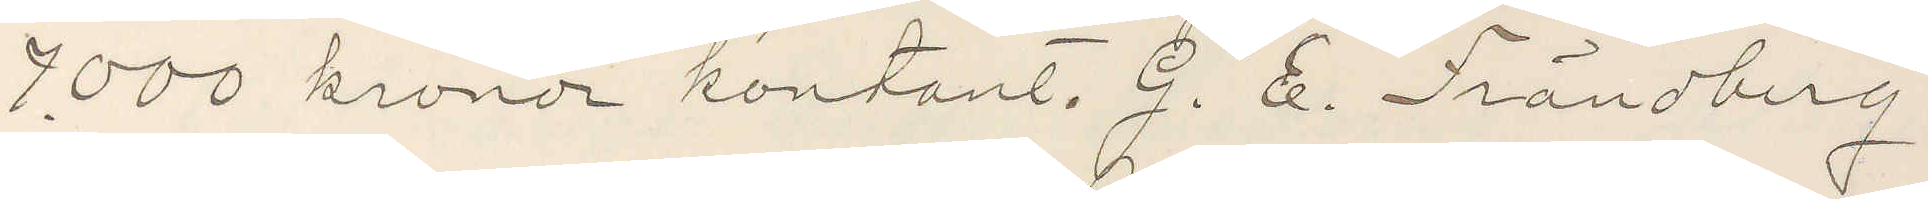7.000 kronor kontant. G. E. Frändberg
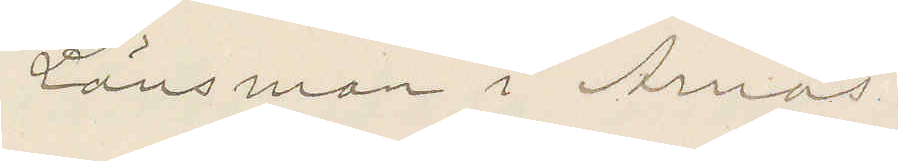Länsman i Arnäs.
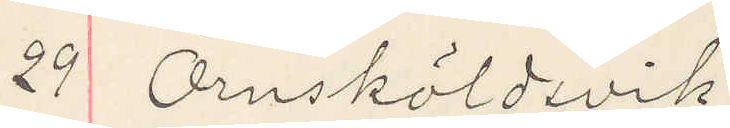29 Örnsköldsvik
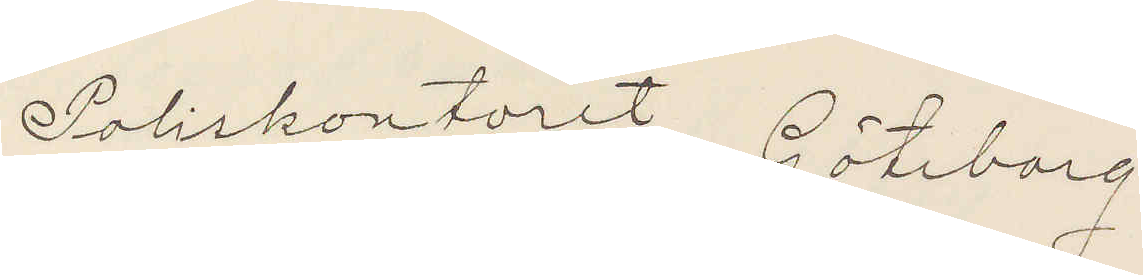Poliskontoret Göteborg
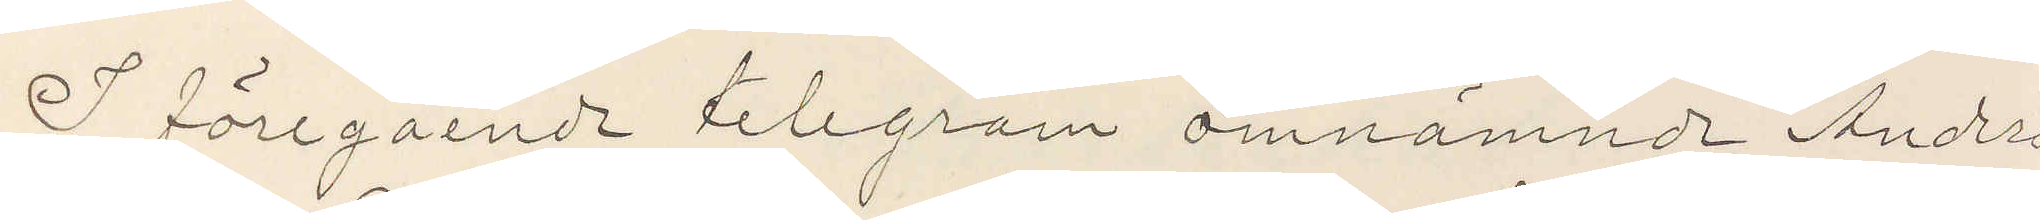I föregående telegram omnämnde Anders
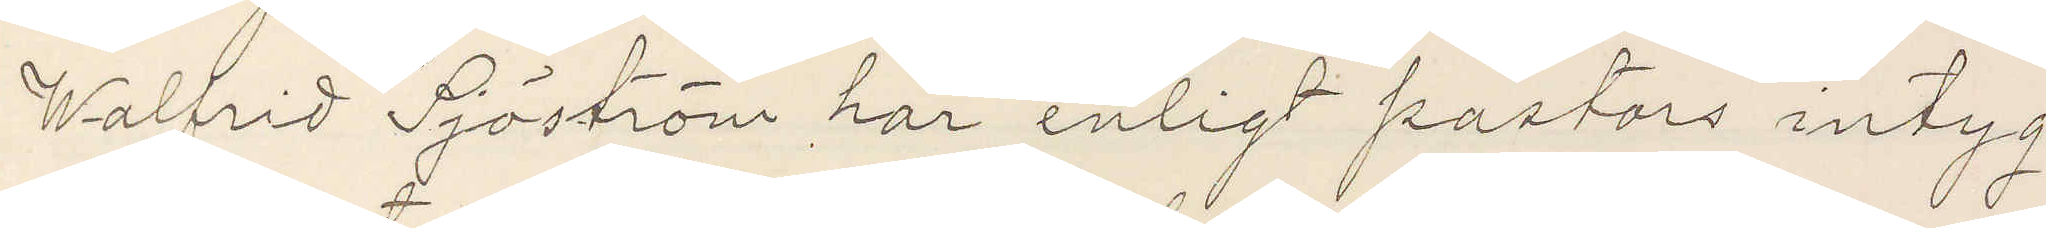Walfrid Sjöström har enligt pastors intyg
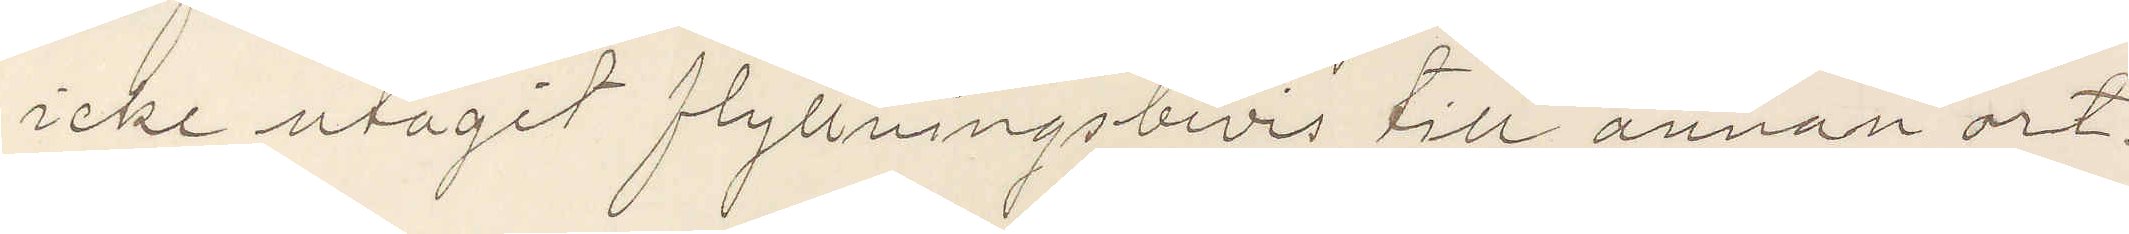icke utagit flyttningsbivis till annan ort.
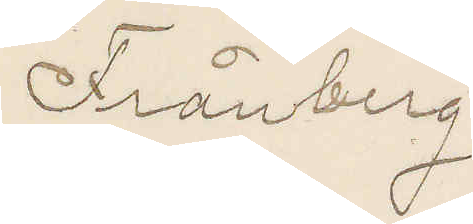Frånberg
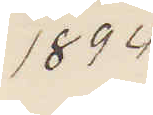1894
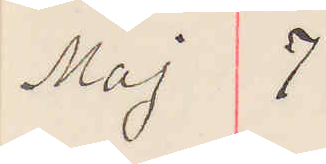Maj 7
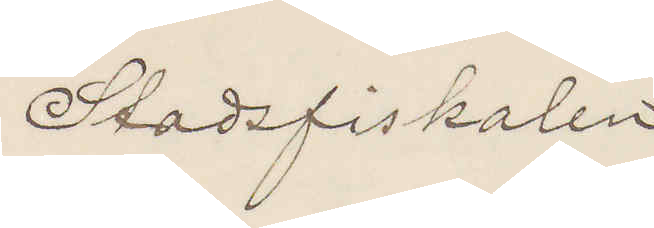Stadsfiskalen
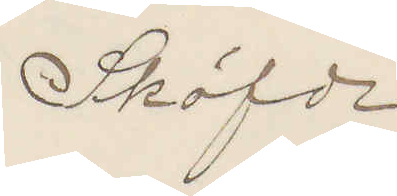Sköfde
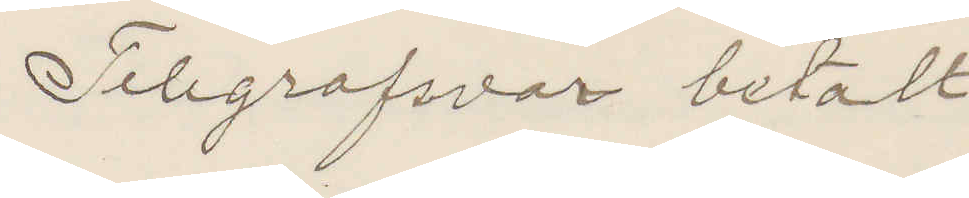Telegrafsvar betalt
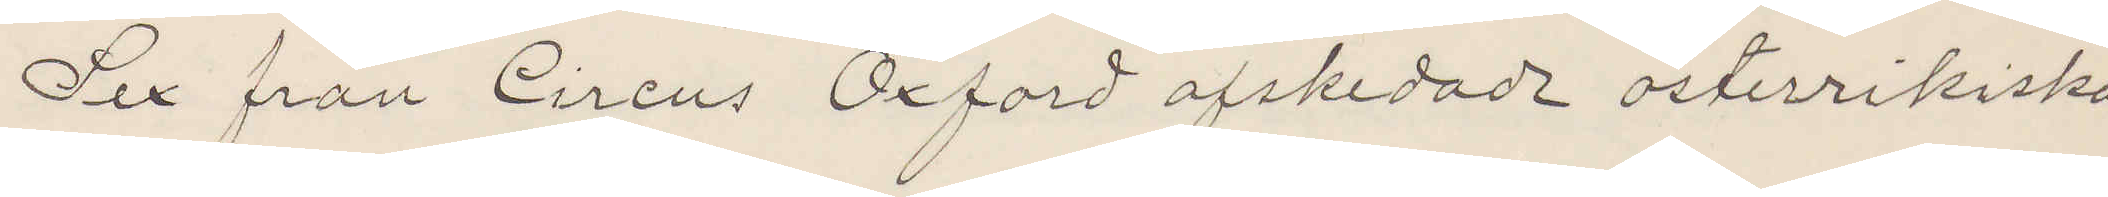Sex från Cirkus Oxford afskedade österrikiska
